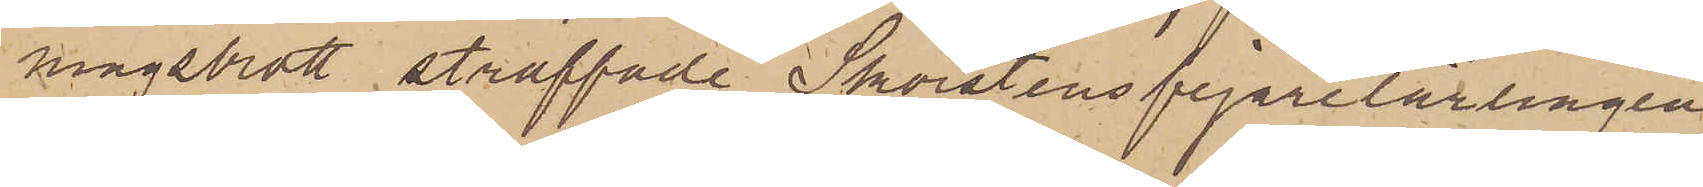ningsbrott straffade Skorstensfejarelärlingen
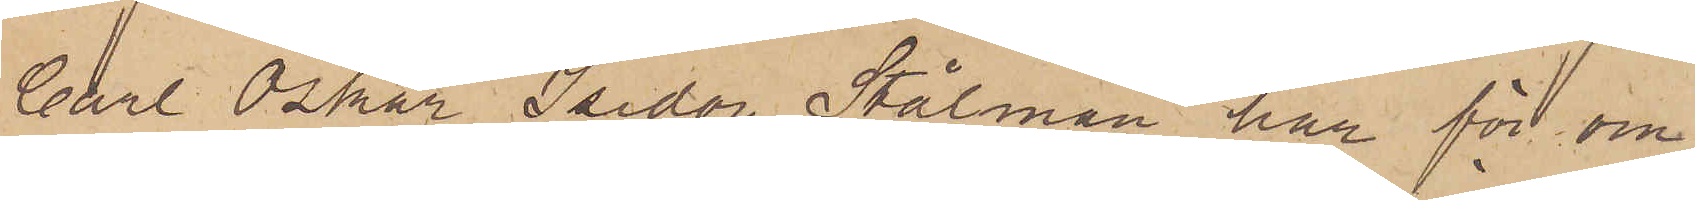Carl Oskar Isidor Stålman har för om¬
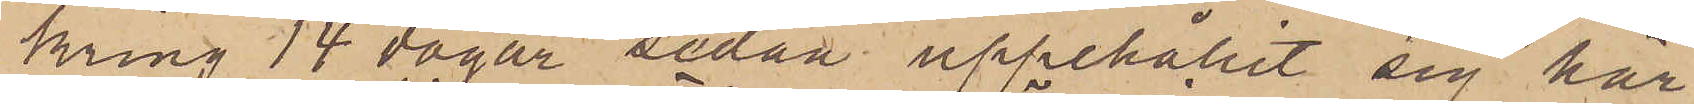kring 14 dagar sedan uppehållit sig här
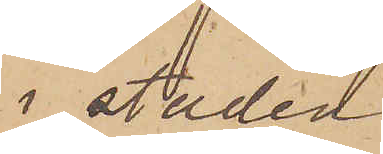i staden
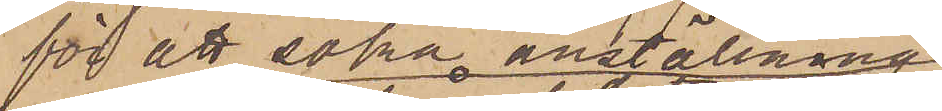för att söka anställning
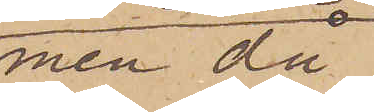men då
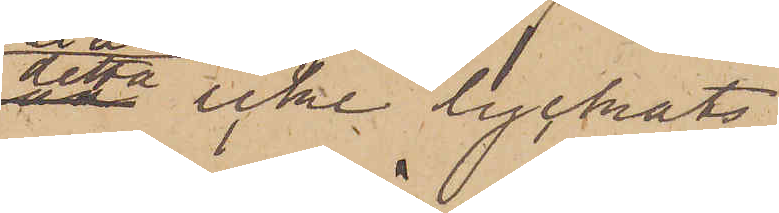detta icke lyckats,
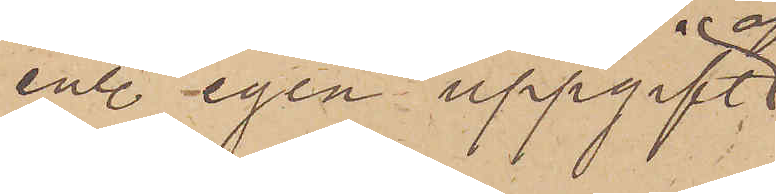enl. egen uppgift
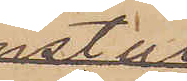afrest
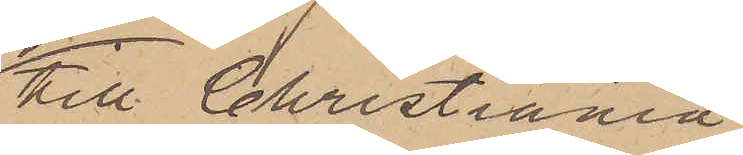till Christiania.
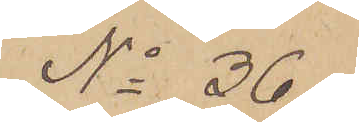No 36
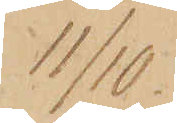11/10.
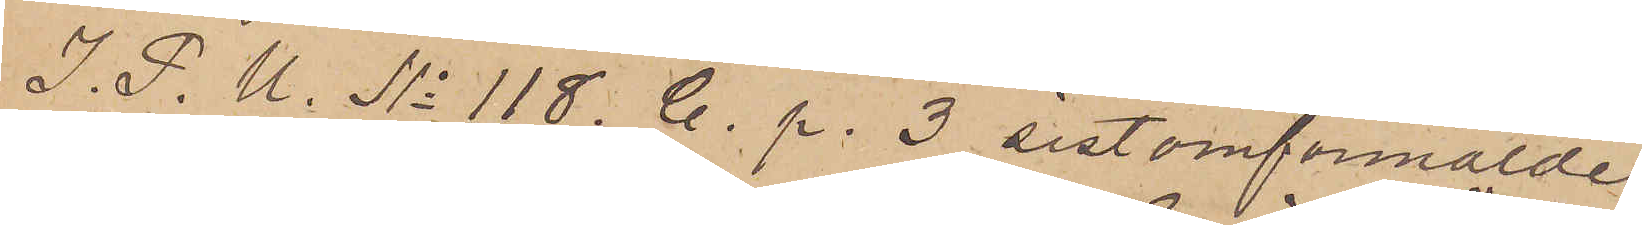I. P. U. No 118. C. p. 3 sistomförmälde
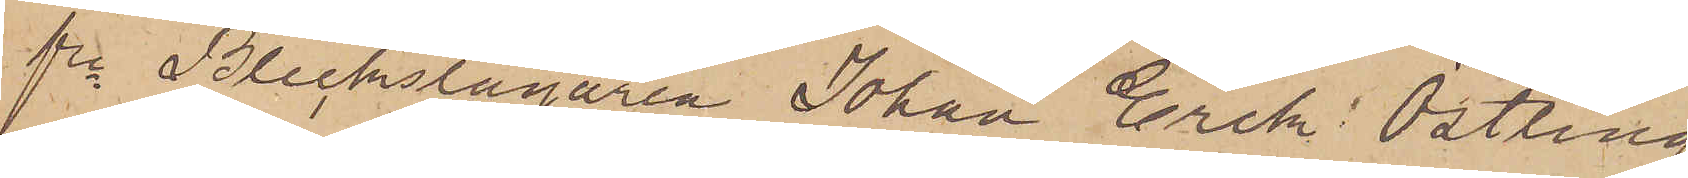fre Bleckslagaren Johan Erik Östling
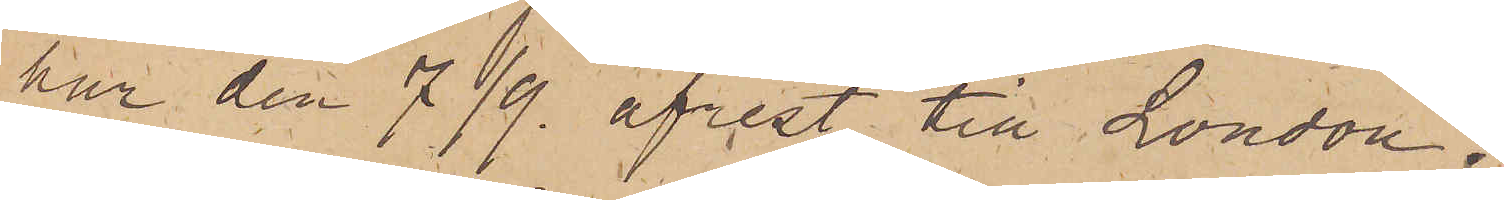har den 7/9 afrest till London.
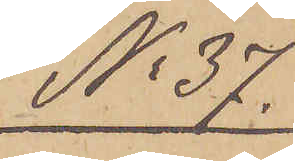No 37.
